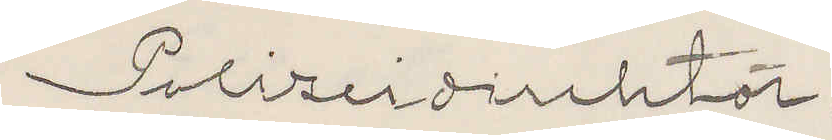Polizeidirektör.
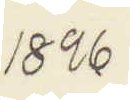1896
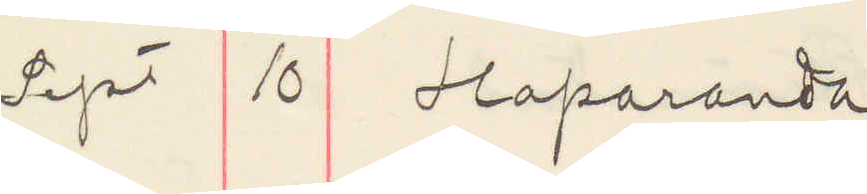Sept 10 Haparanda
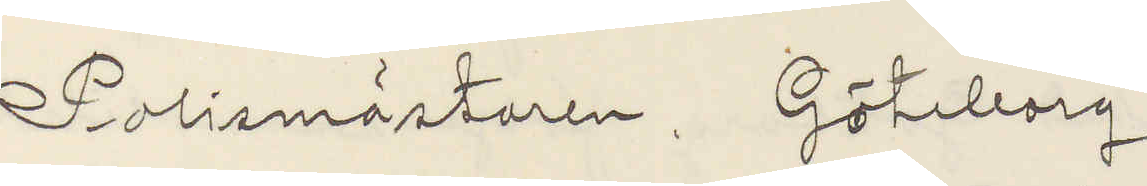Polismästaren Göteborg.
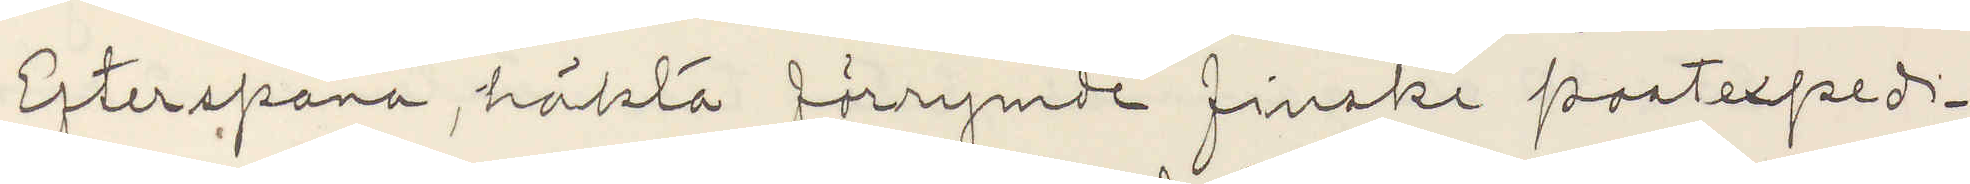Efterspana häkta förrymde finske postexpedi¬
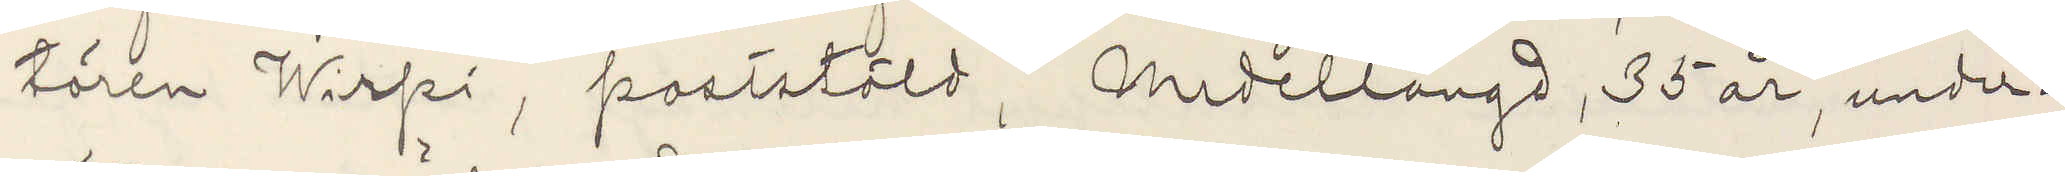tören Wirpi, poststöld, Medellång, 35 år, under¬
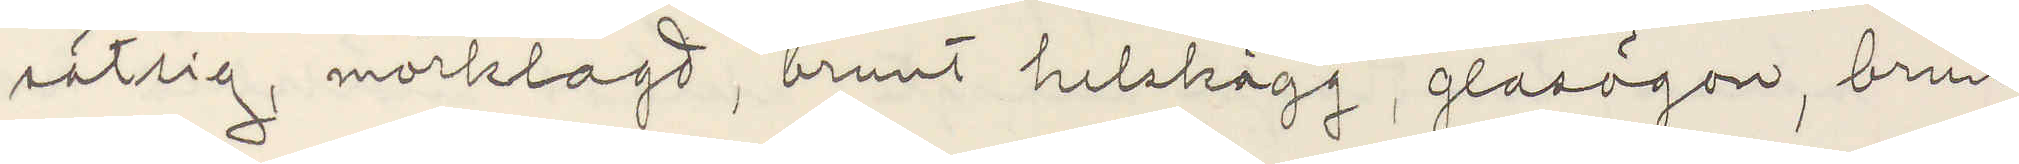sätsig, mörklagd, brunt helskägg, glasögon, brun
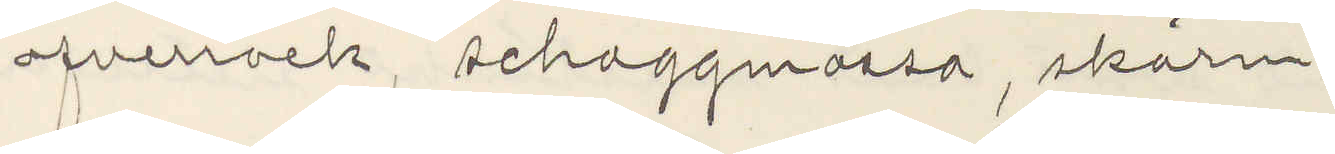ofverrock, schaggmössa, skärm.
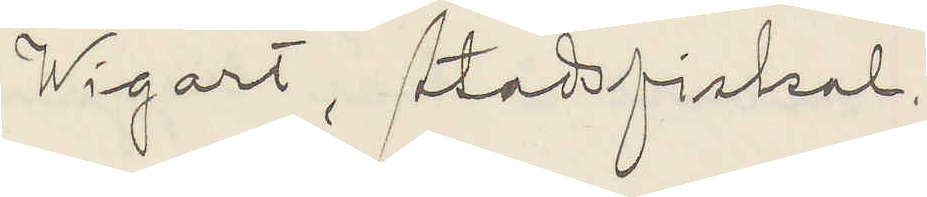Wigart, Stadsfiskal
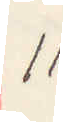11
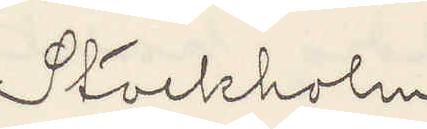Stockholm
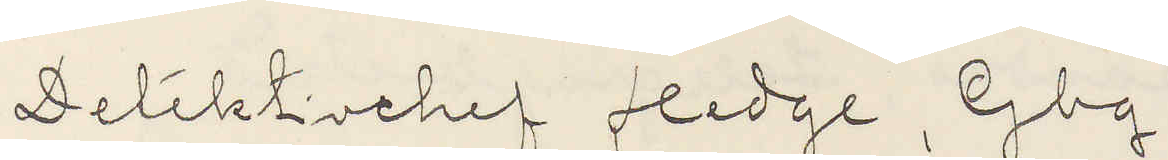Detektivchef Hedge, Gbg
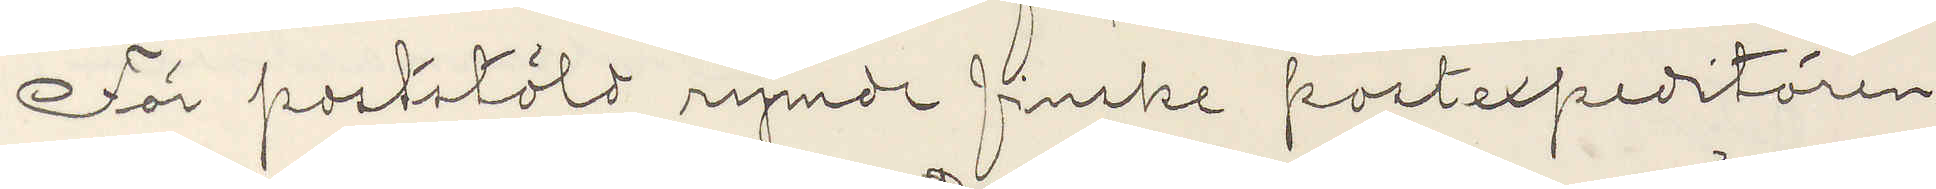För poststöld rymde finske postexpeditören
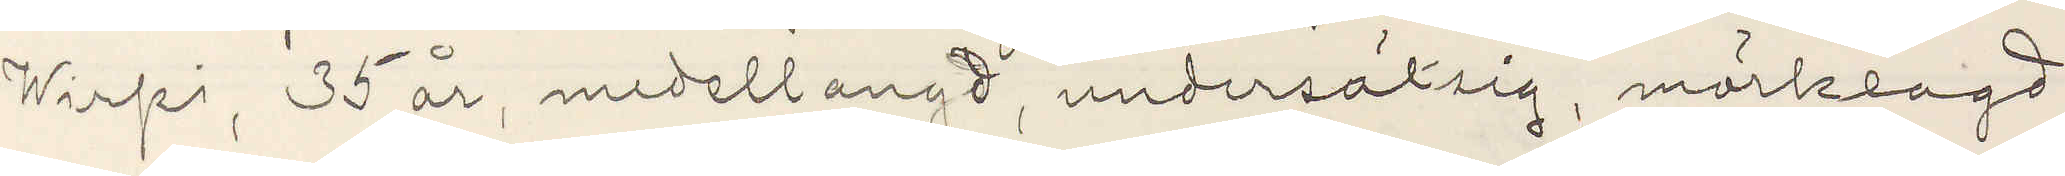Wirpi, 35 år, medellangd, undersätsig, mörklagd
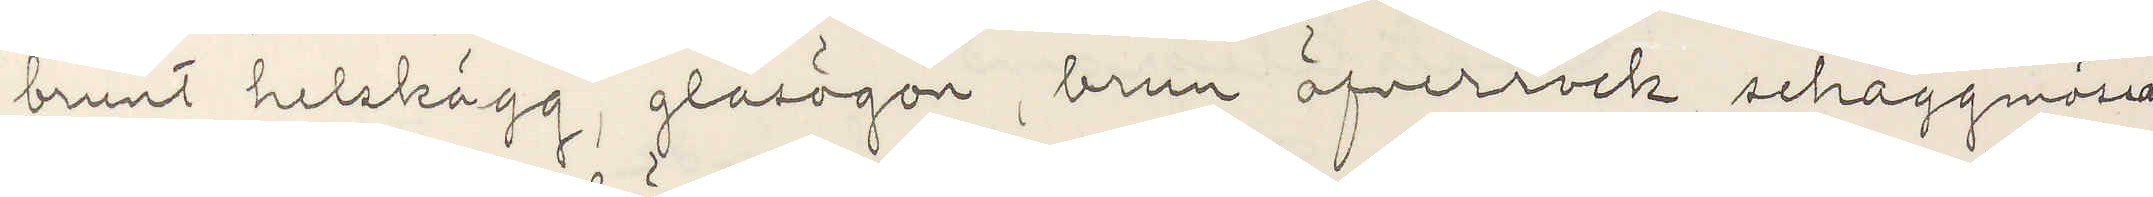brunt helskägg, glasögon, brun öfverrock, schaggmössa
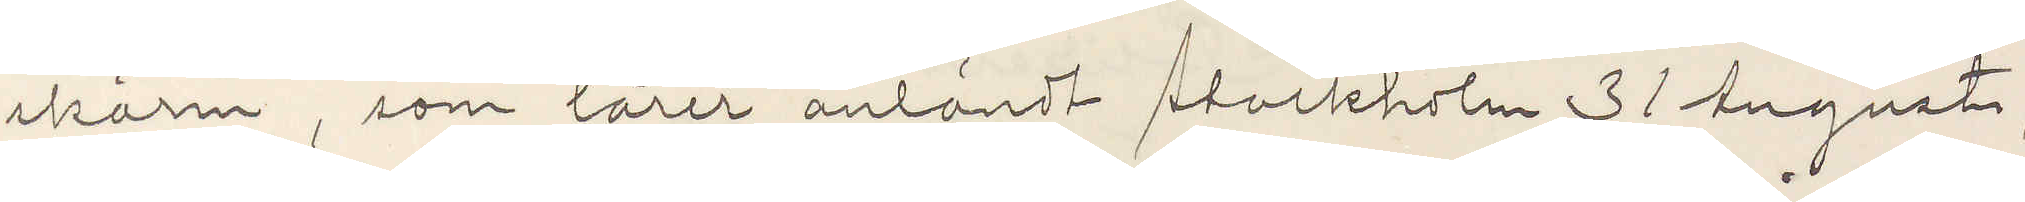skärm, som lärer anländt Stockholm 31 Augusti,
